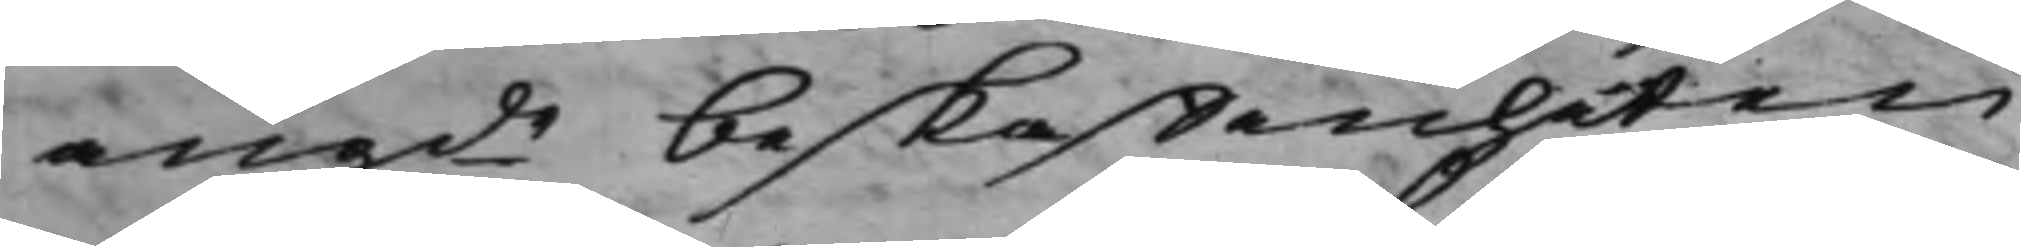angde beskaffenheten
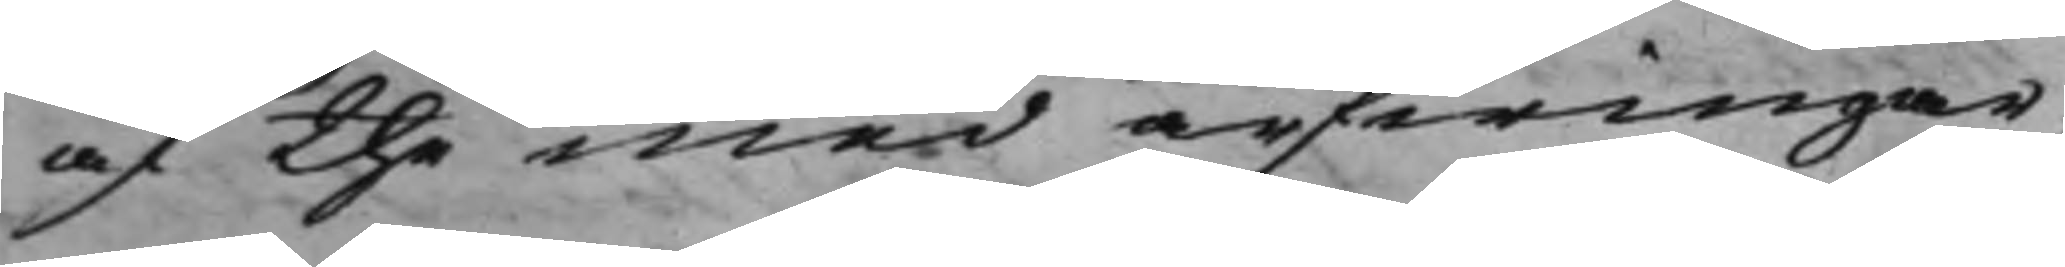af the med arfwingar¬
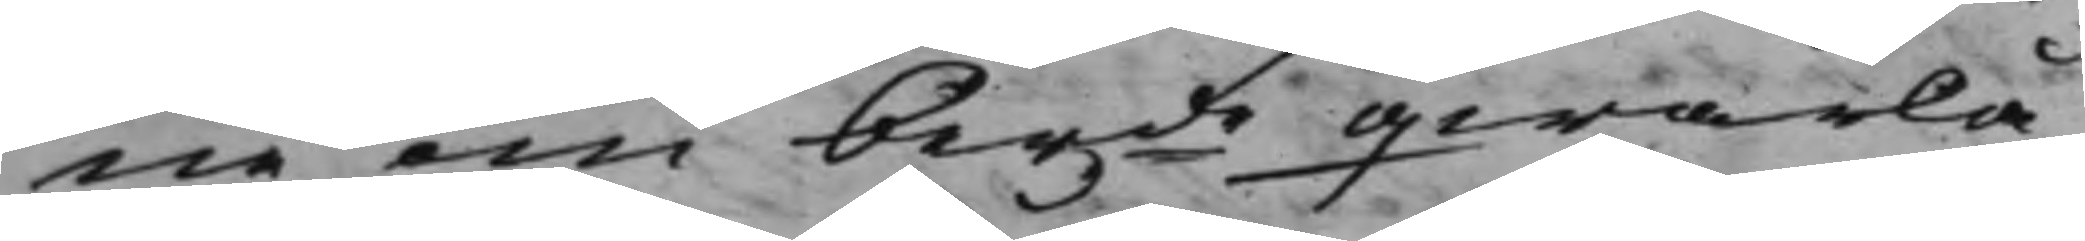ne om berde qwarlå¬
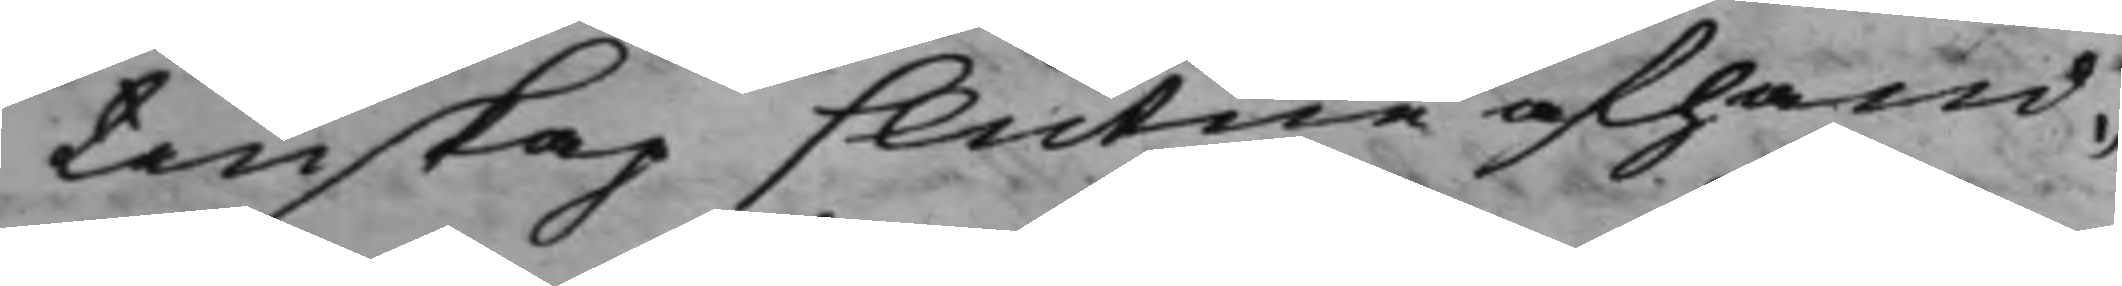tenskap slutne afhand¬
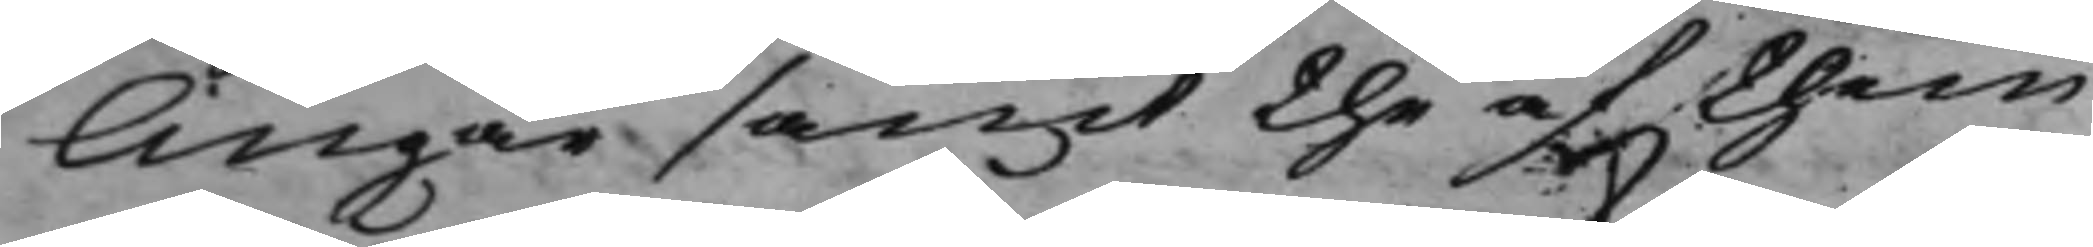lingar samt the af them
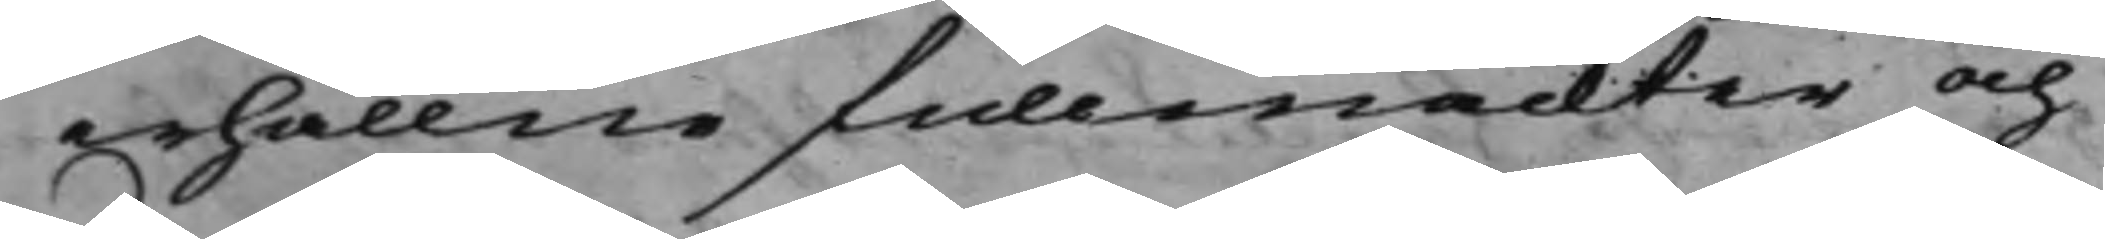erhållne fullmackter och
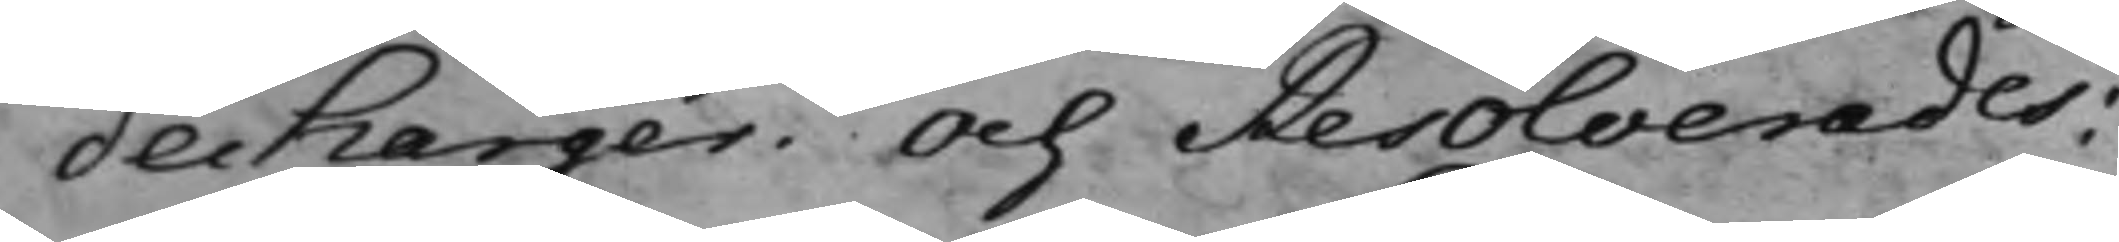decharger. Och Resolverades:
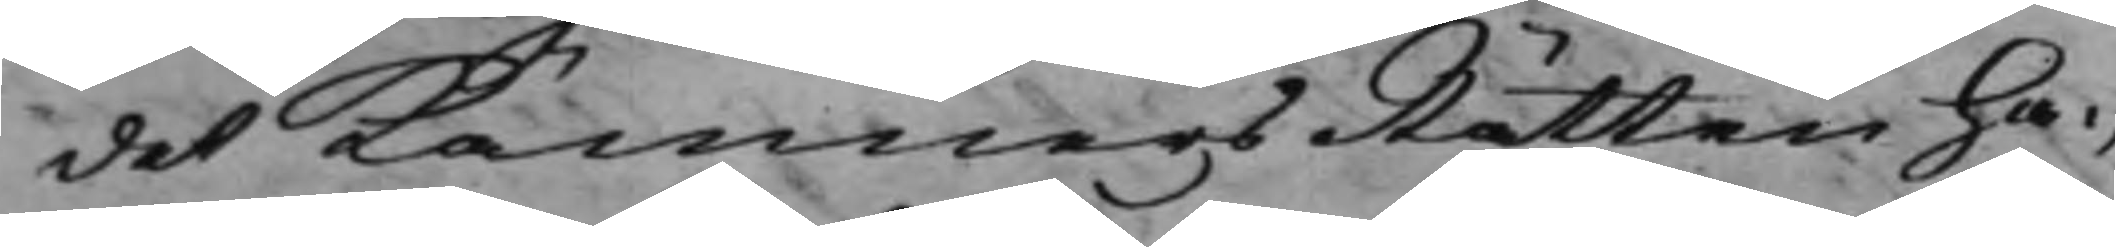det KämnersRätten ha¬
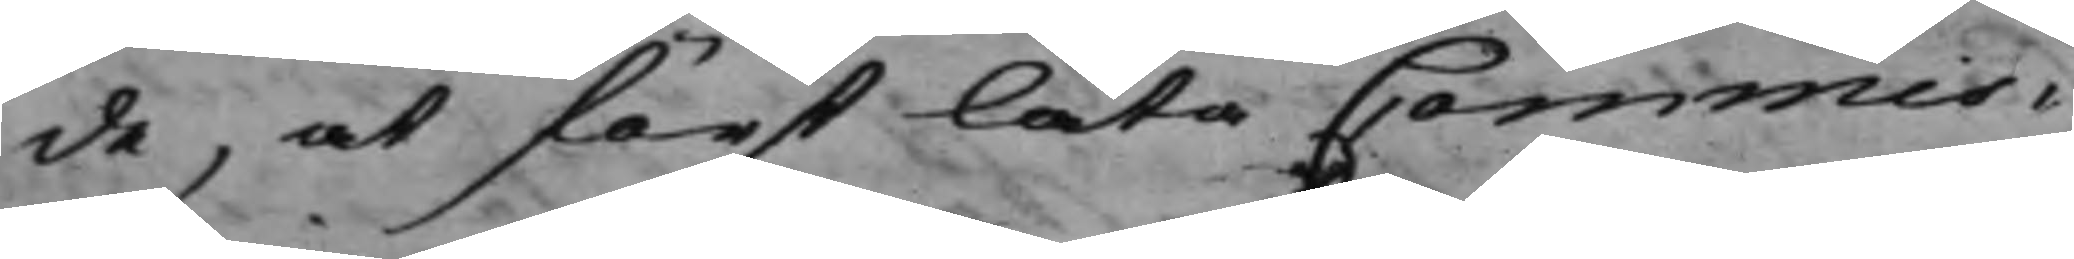de, at först låta Commis¬
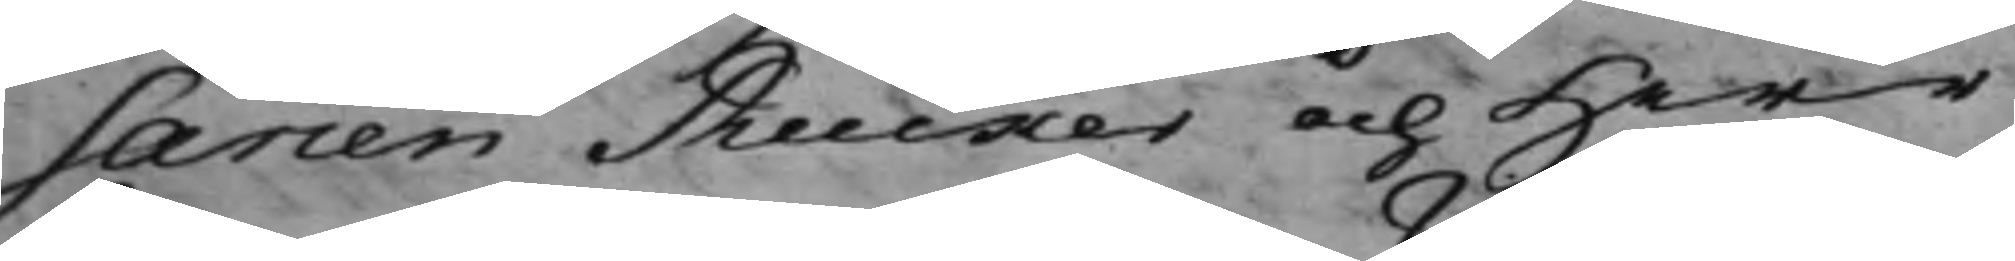sarien Rucker och Herr
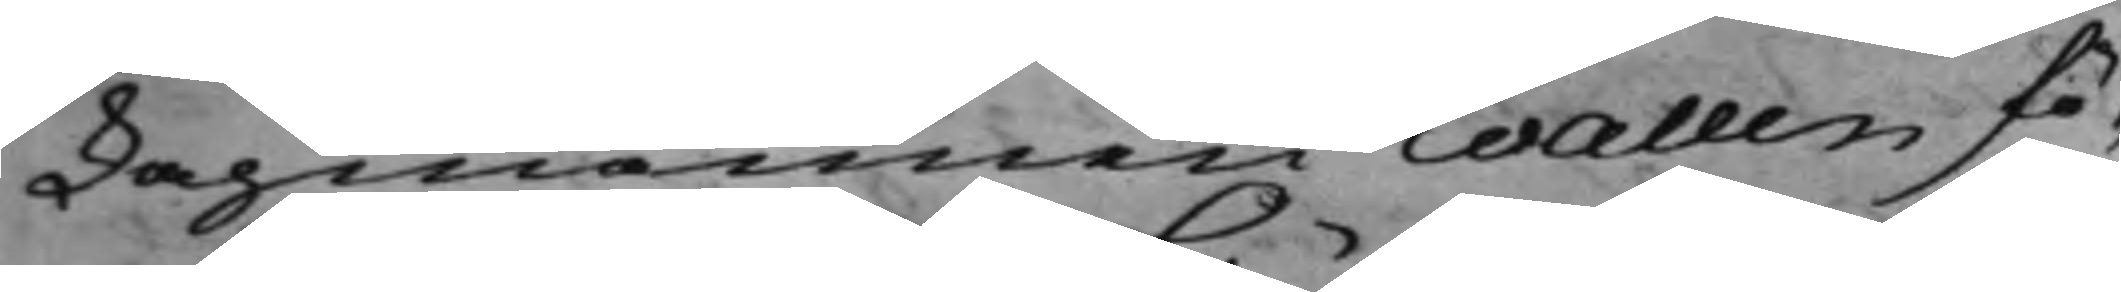Lagmannen Wallen fö¬
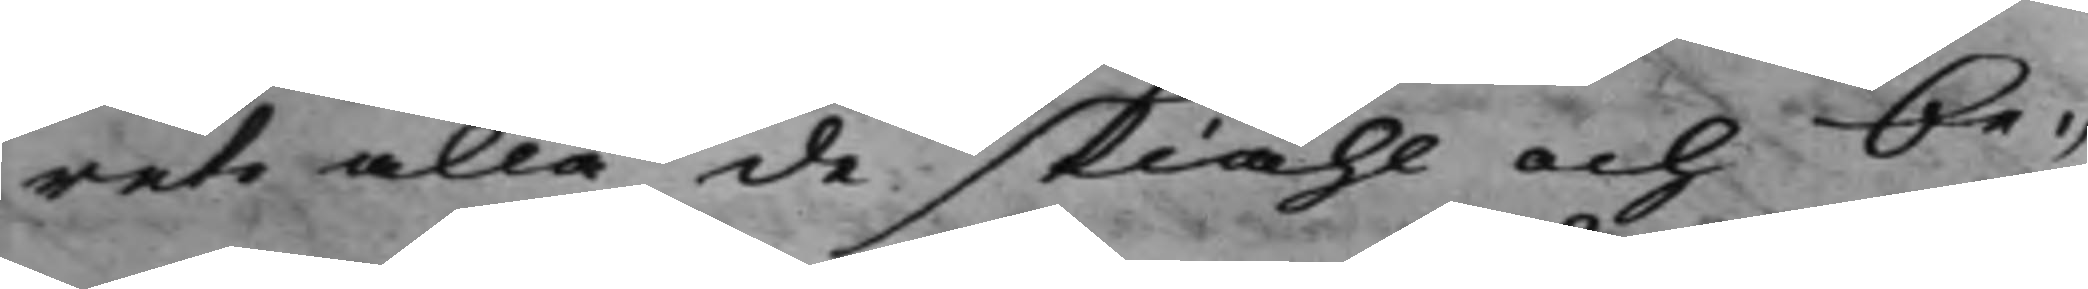rete alla de skiähl och be¬
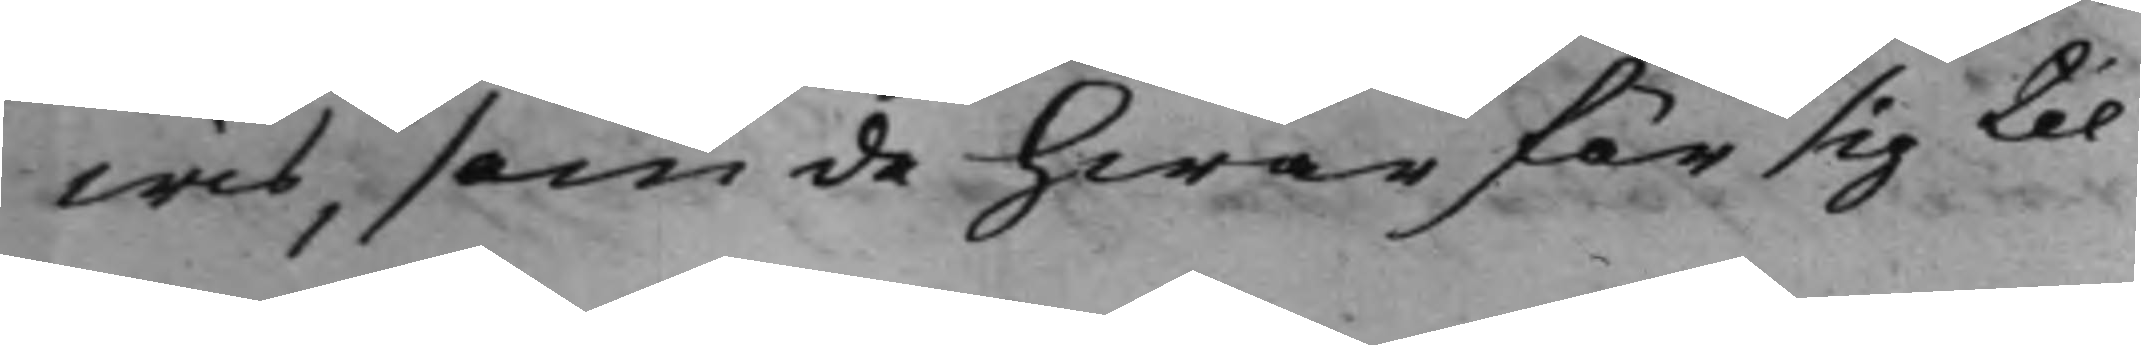wis, som de hwar för sig til
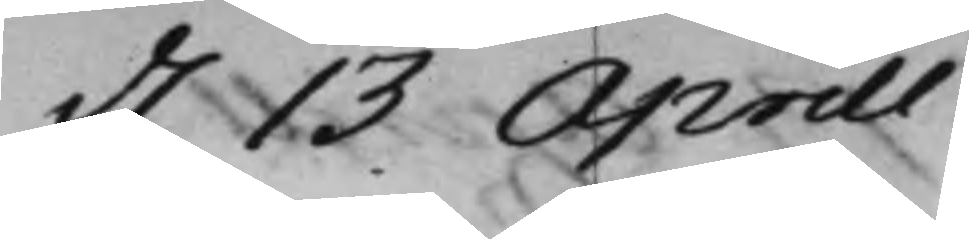d. 13 Aprill.
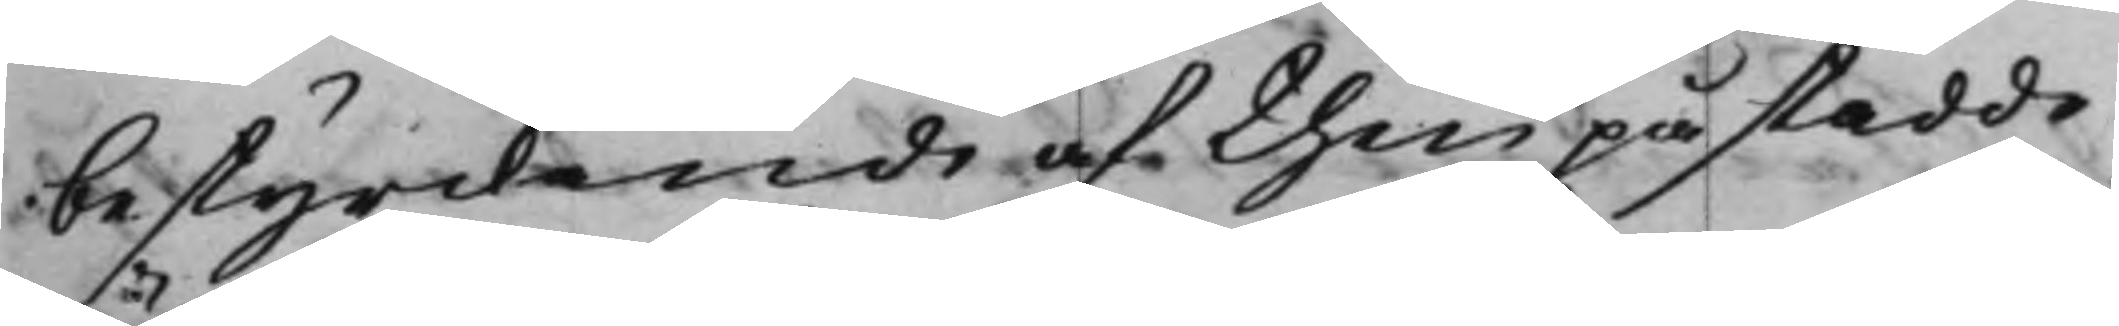bestyrckande af then påstådde
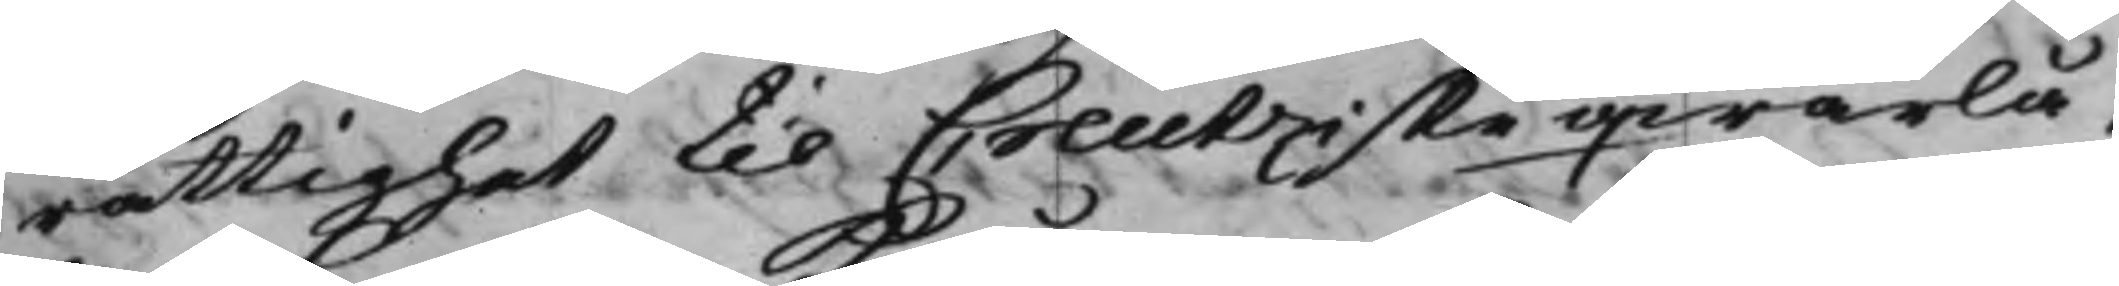rättighet til Creutziske qwarlå¬
